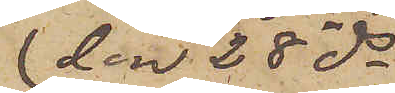den 28 ds
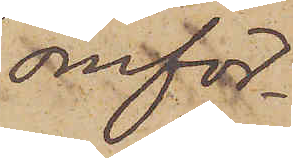omför¬
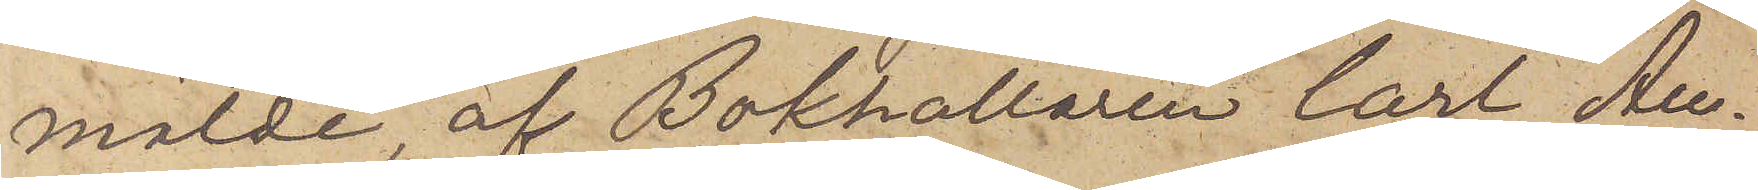mälde, af Bokhållaren Carl Au¬
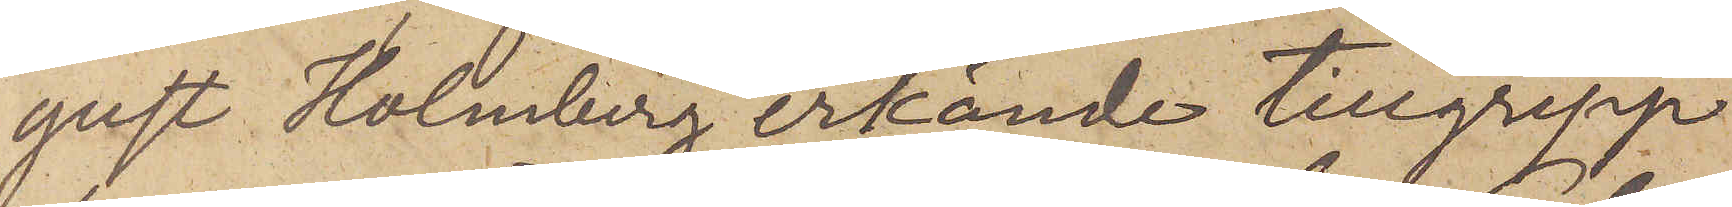gust Holmberg erkände tillgrepp
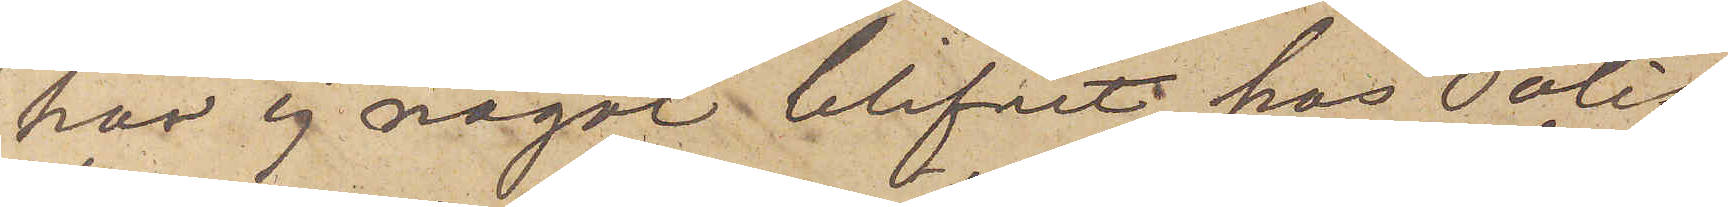har ej något blifvit hos Polis¬
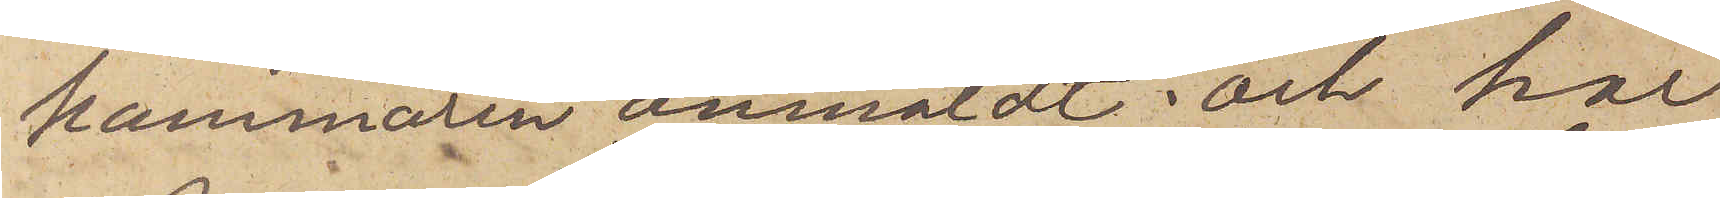kammaren anmäldt; och har
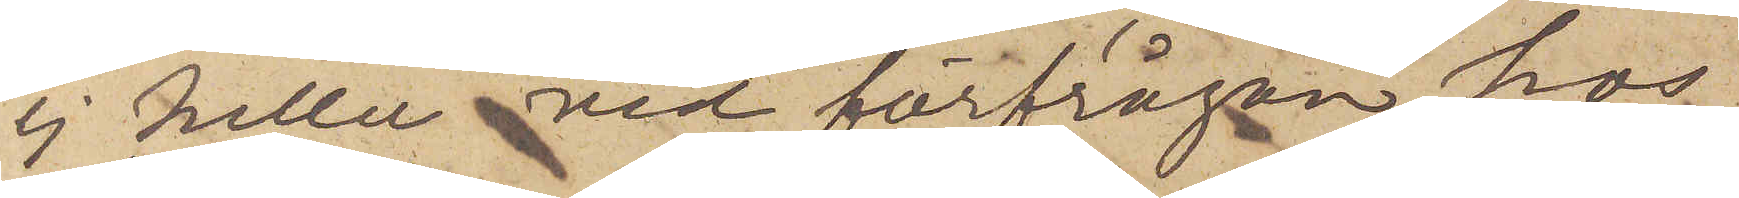ej heller vid förfrågan hos
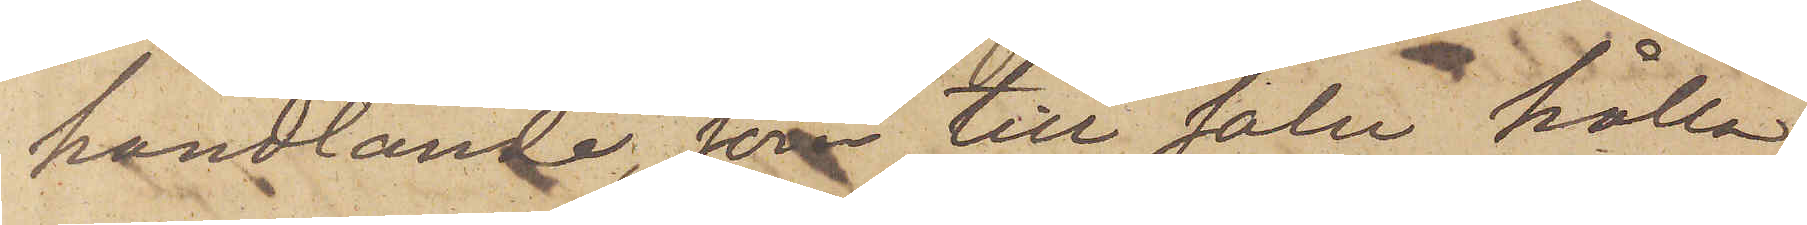handlande, som till salu hålla
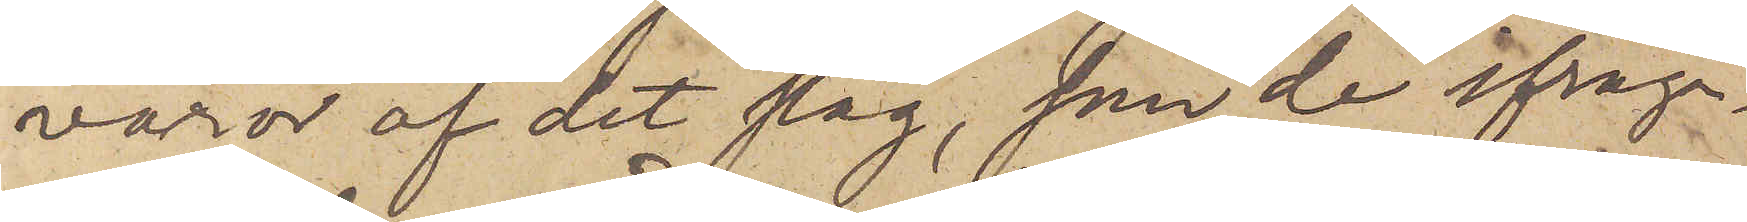varor af det slag, som de ifråga¬
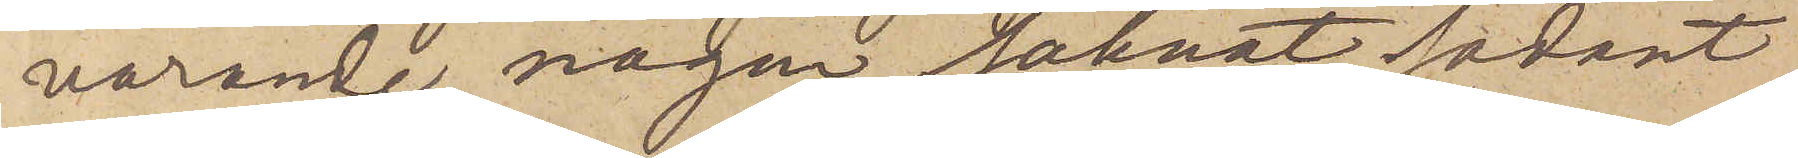varande, någon saknat sådant
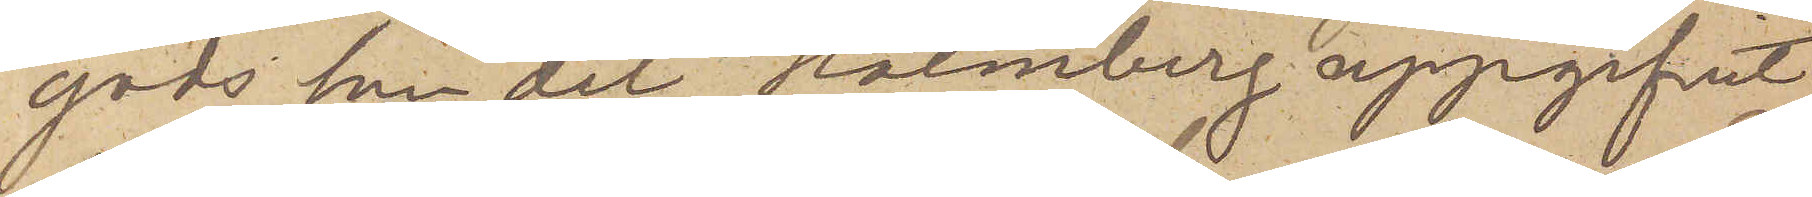gods som det Holmberg uppgifvit
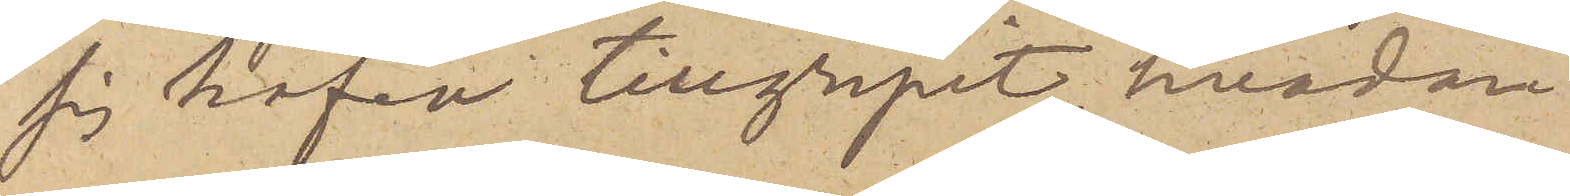sig hafva tillgripit, hvadan
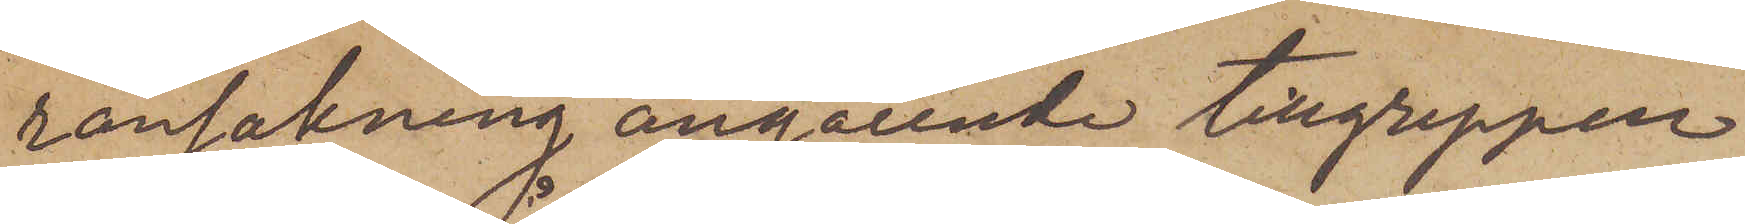ransakning angående tillgreppen
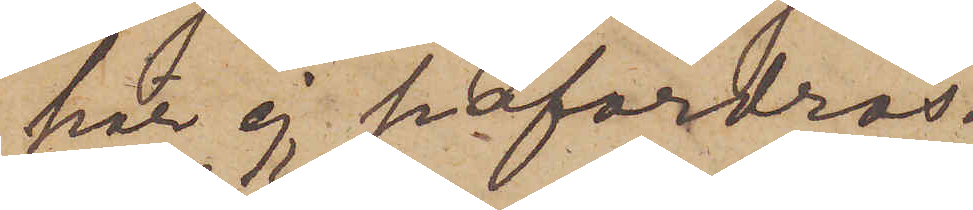här ej påfordras.
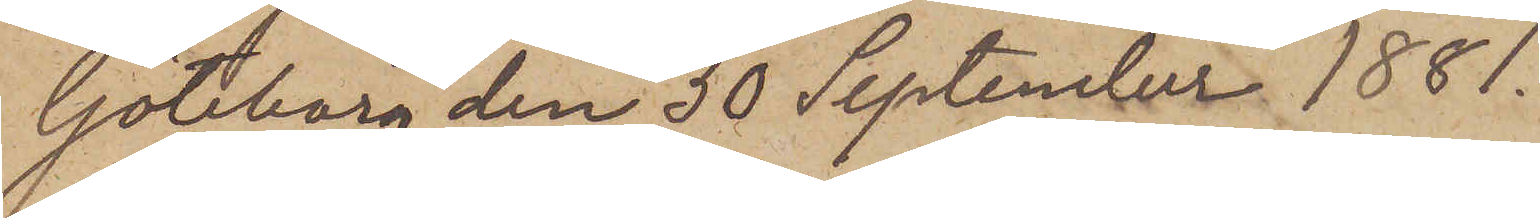Göteborg den 30 September 1881.
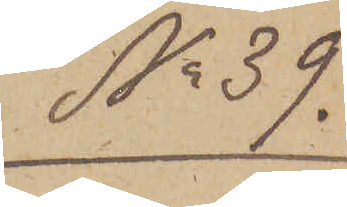No 39.
